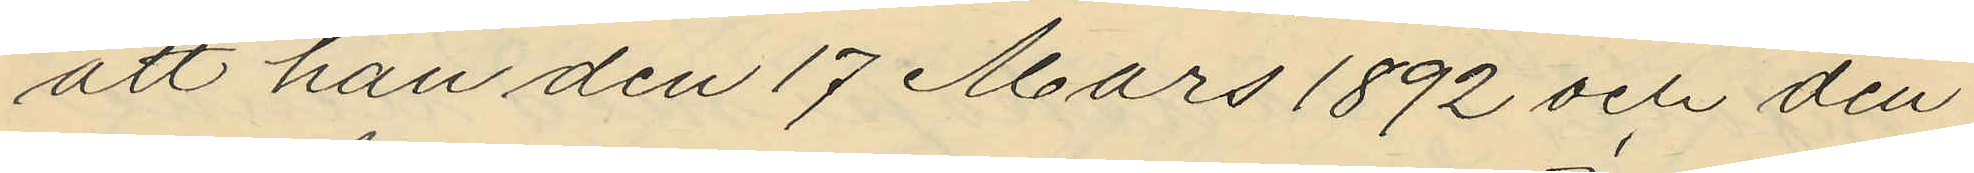att han den 17 Mars 1892 och den
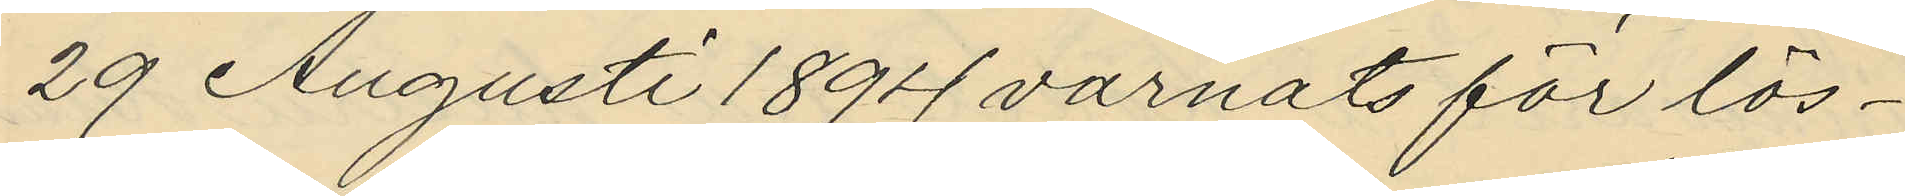29 Augusti 1894 varnats för lös¬
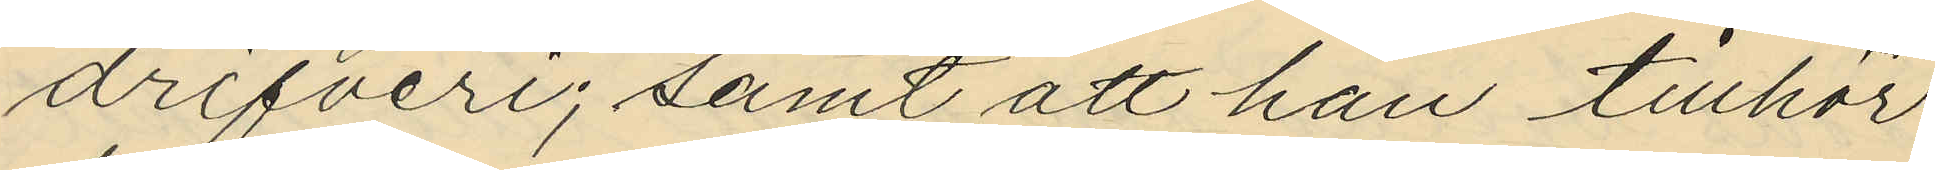drifveri; samt att han tillhör
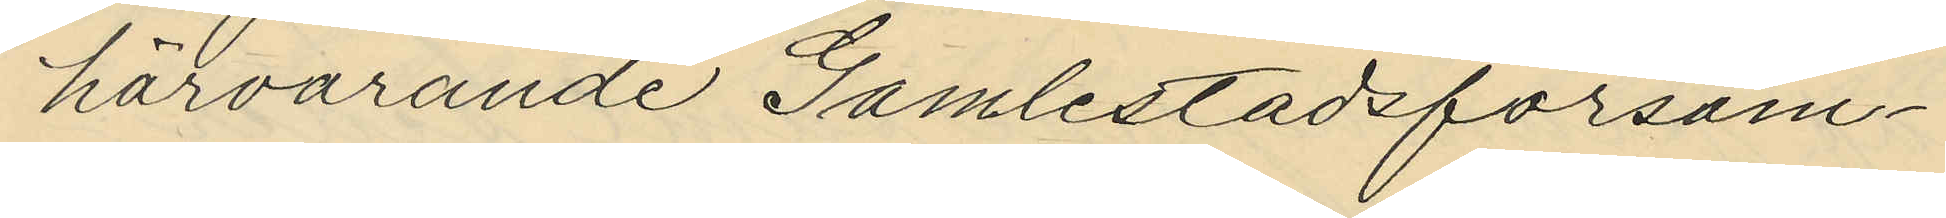härvarande Gamlestadsförsam¬
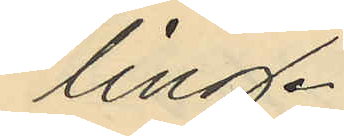ling.
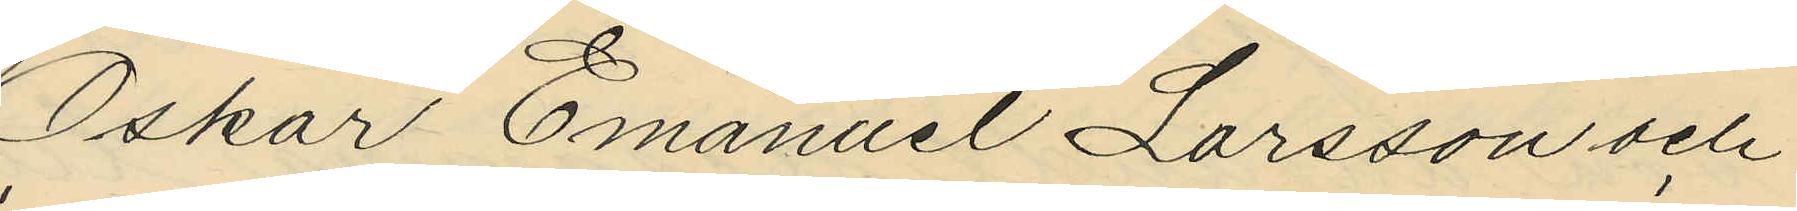Oskar Emanuel Larsson och
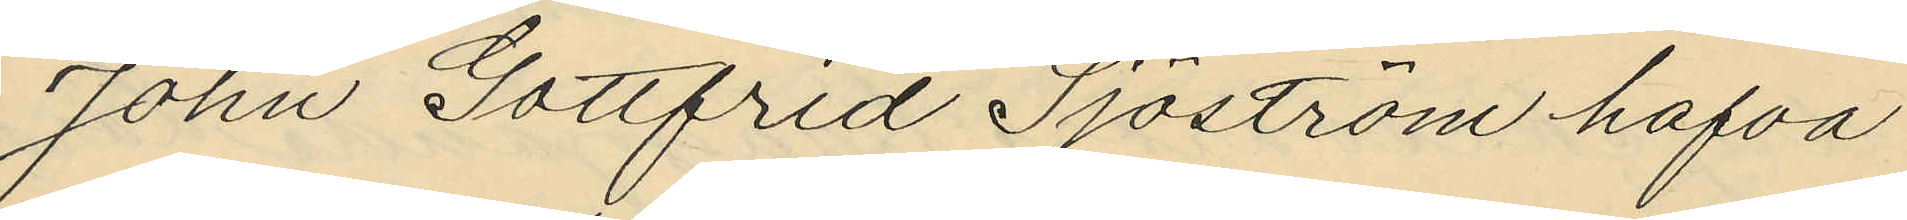John Gottfrid Sjöström hafva
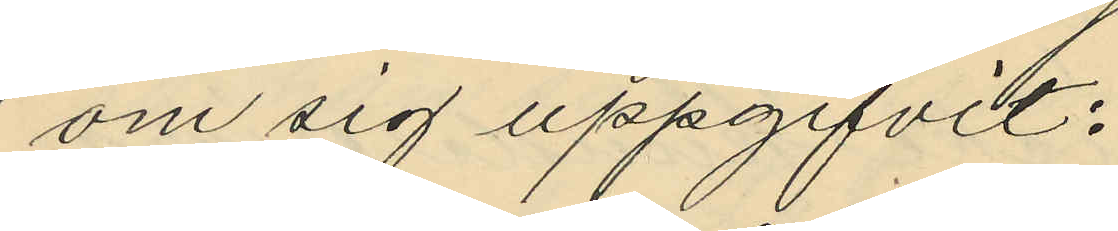om sig uppgifvit:
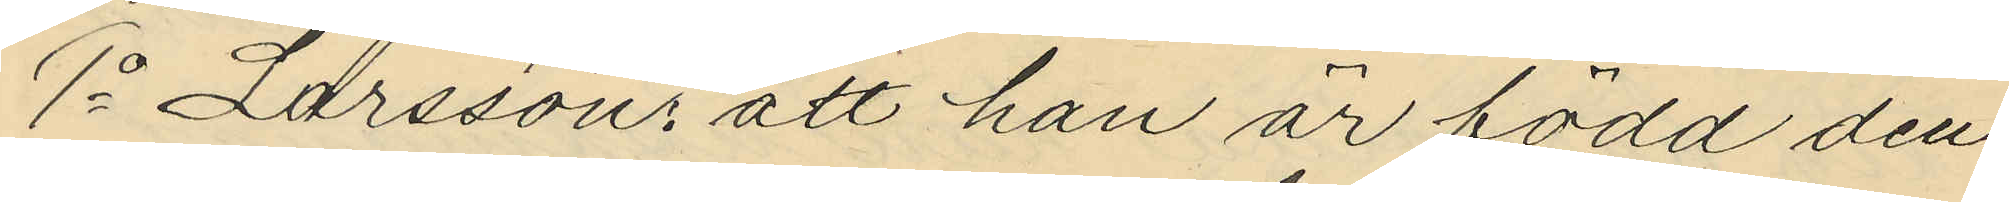1o Larssons att han är född den
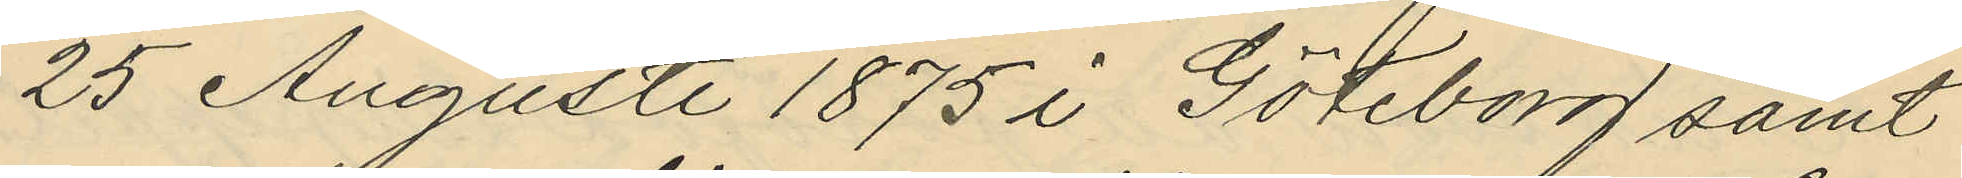25 Augusti 1875 i Göteborg samt
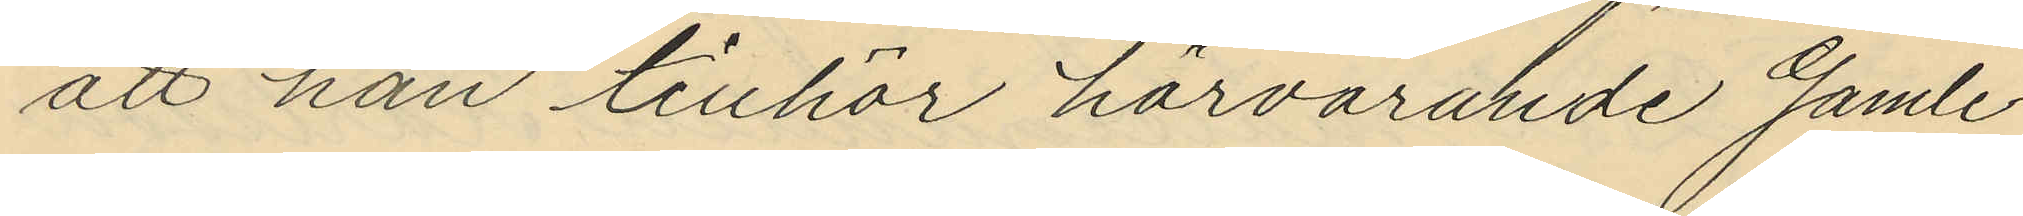att han tillhör härvarande Gamle¬
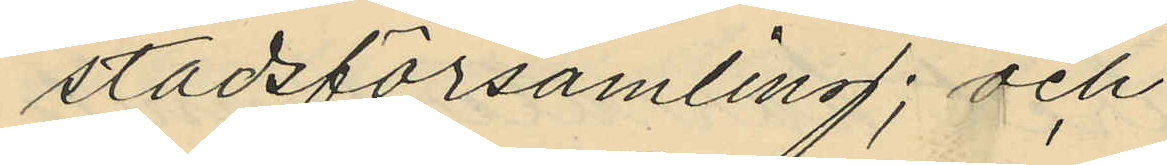stadsförsamling; och
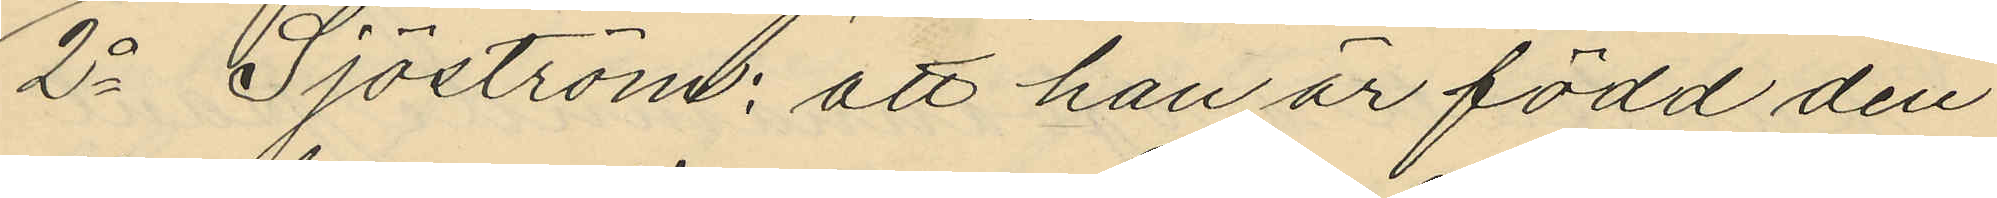2o Sjöström: att han är född den
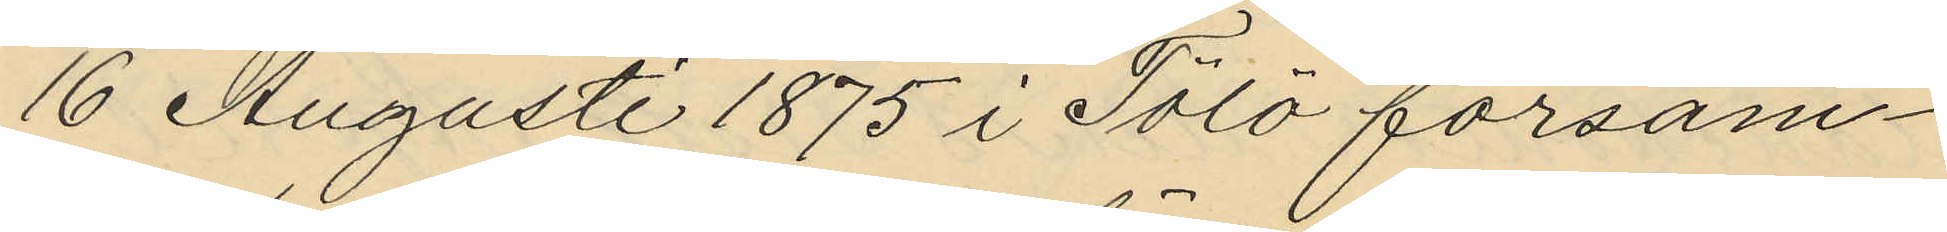16 Augusti 1875 i Tölö försam¬
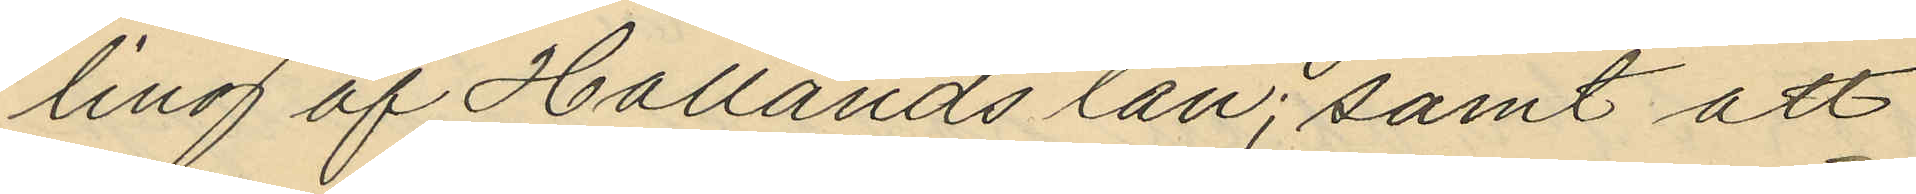ling af Hallands län; samt att
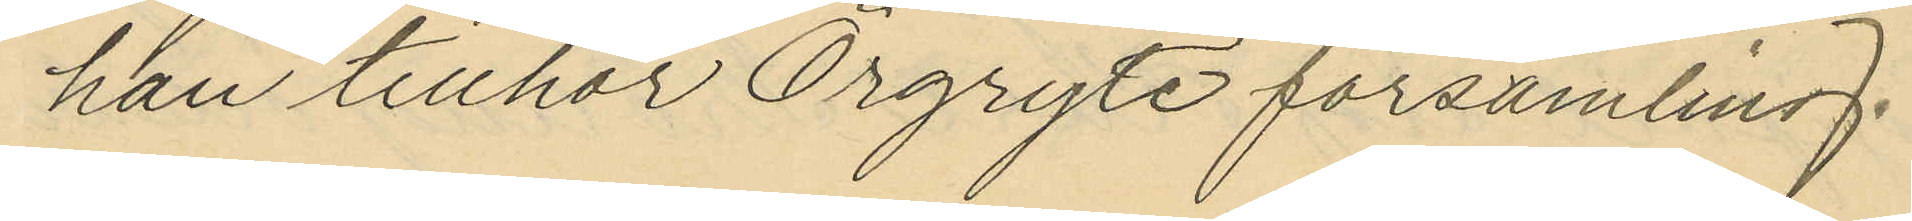han tillhör Örgryte församling;
